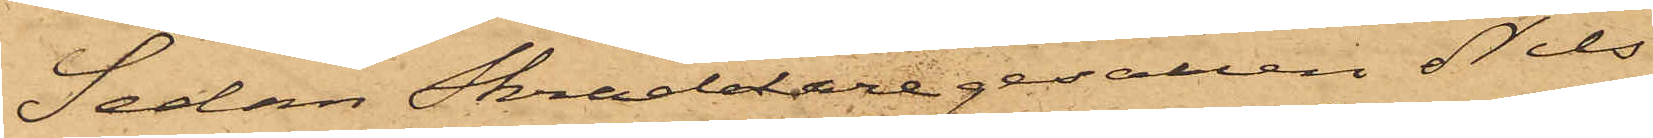Sedan Skräddaregesällen Nils
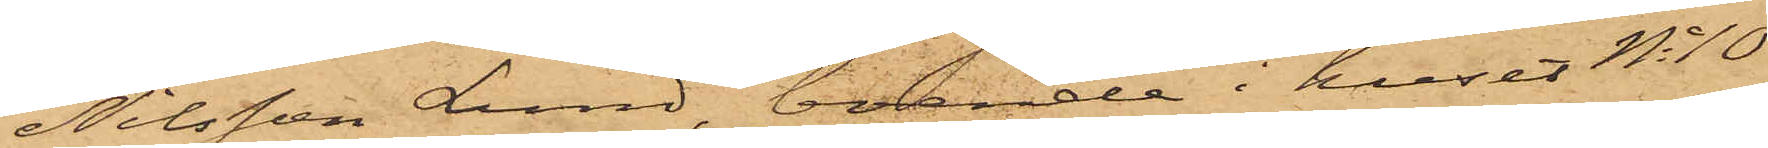Nilsson Lund, boende i huset No 10
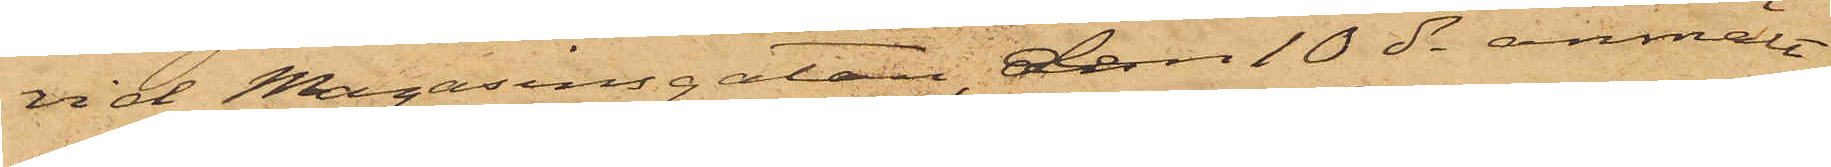vid Magasinsgatan, den 10 ds anmält
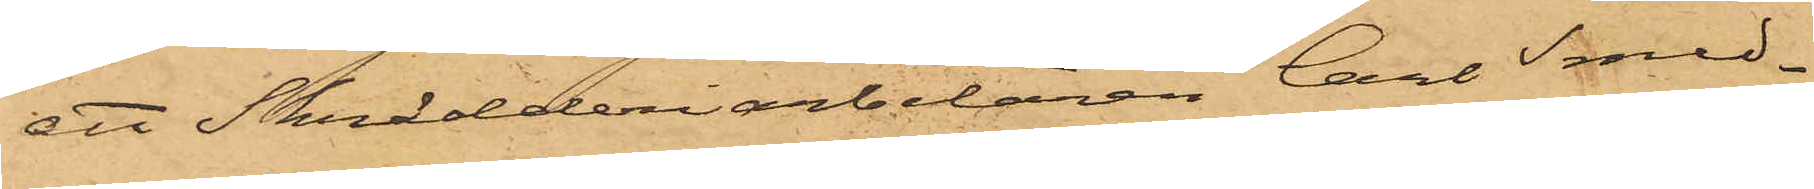att Skrädderiarbetaren Carl Smed¬
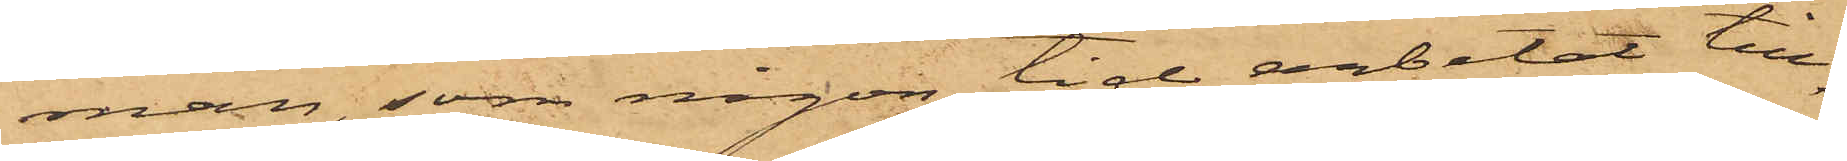man, som någon tid arbetat till¬
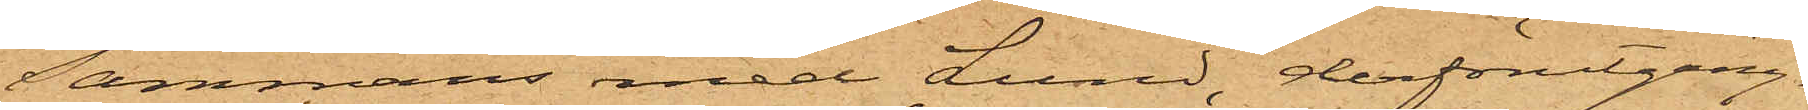sammans med Lund, derförutgång¬
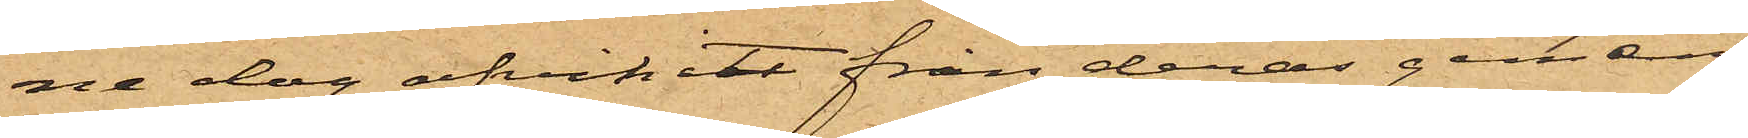ne dag afvikit från deras gemen¬
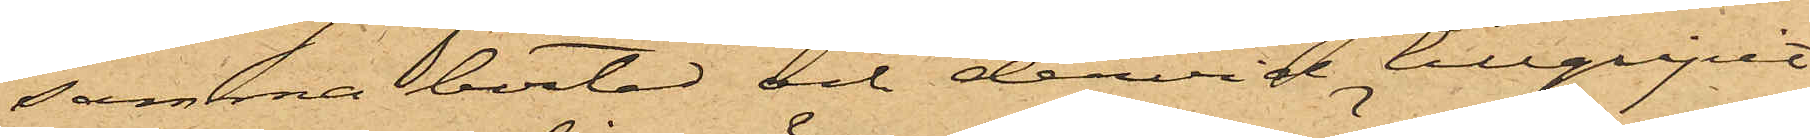samma bostad och dervid tillgripit
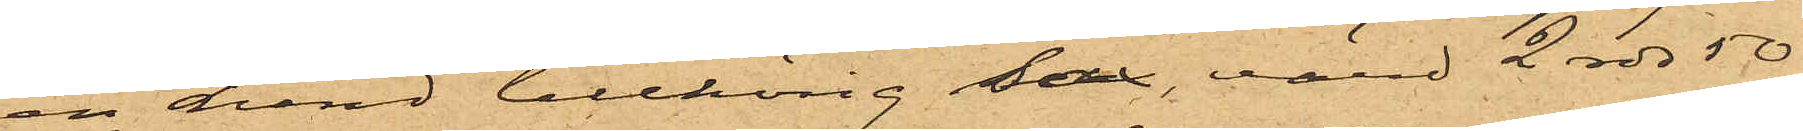en Lund tillhörig sax, värd 2 rdr 50
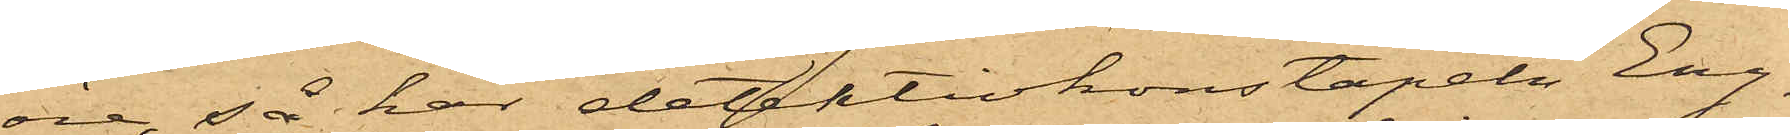öre, så har detektivkonstapeln Eng¬
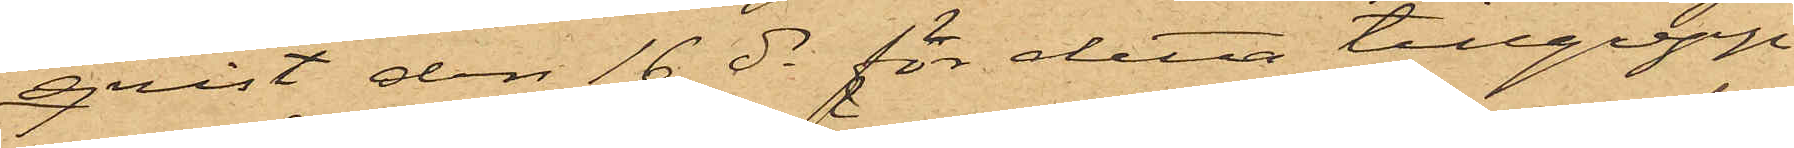qvist den 16 ds för detta tillgrepp
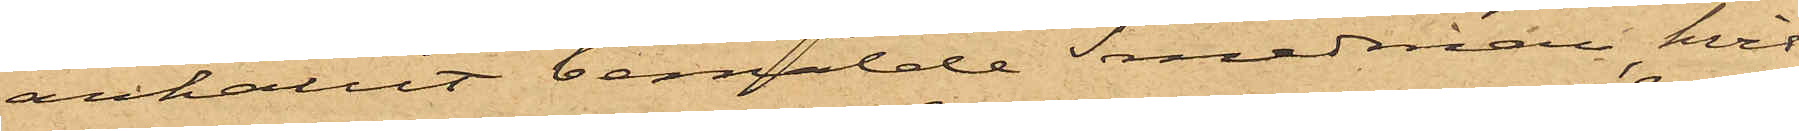anhållit bemälde Smedman, hvil¬
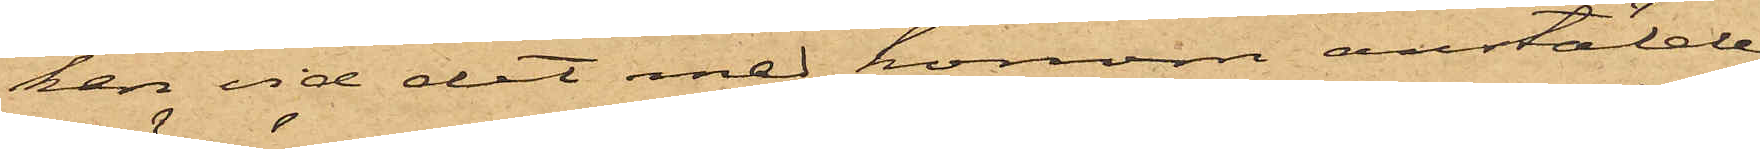ken vid det med honom anstälde
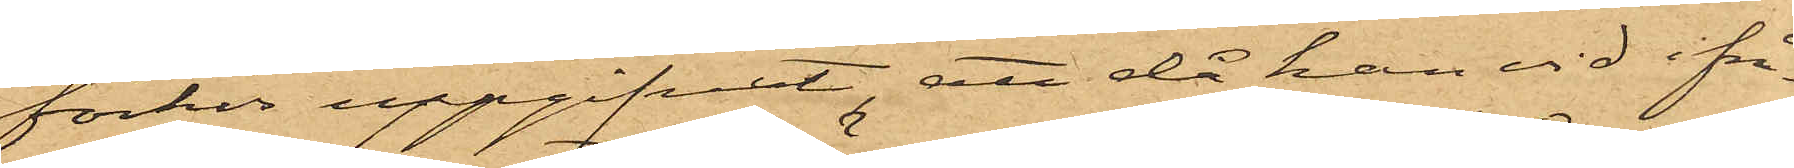förhör uppgifvit, att då han vid ifrå¬
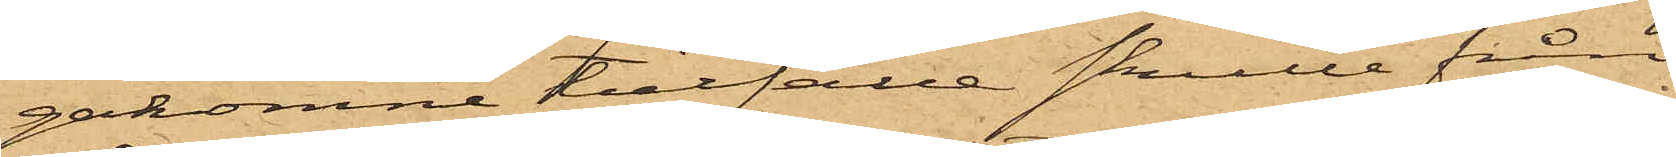gakomne tillfälle skulle från
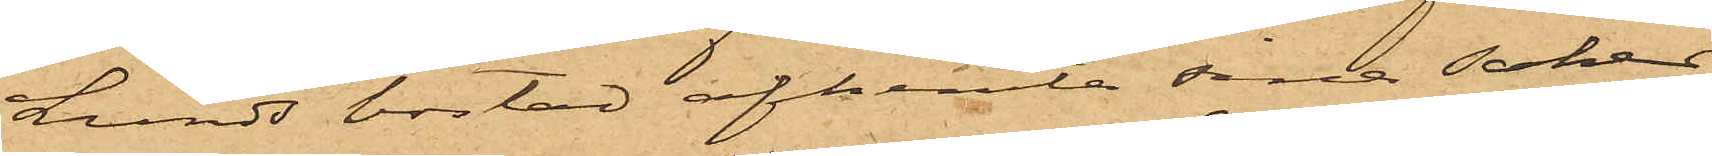Lunds bostad afhemta sina saker,
